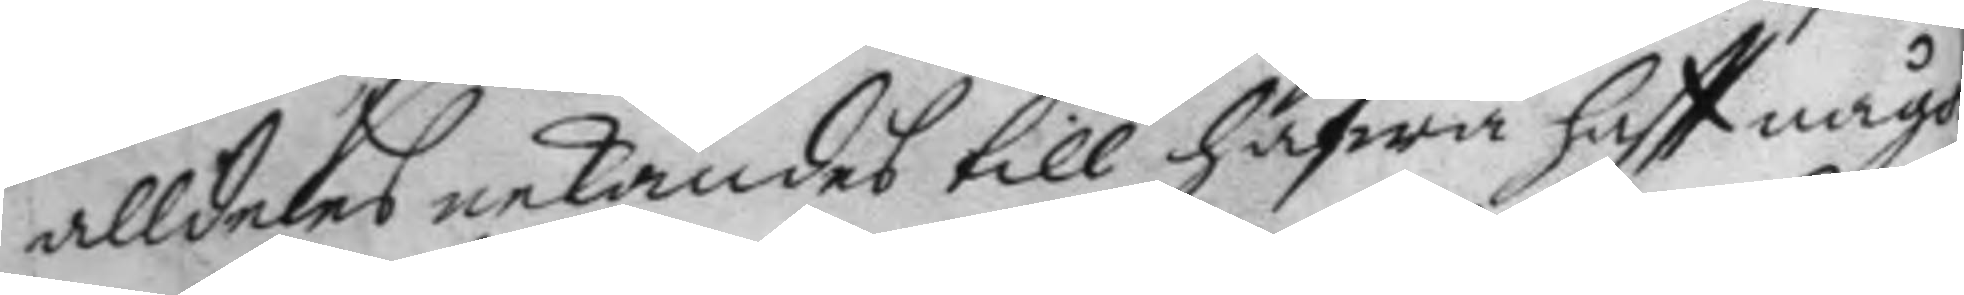alldeles nekandes till hafwa haftt något
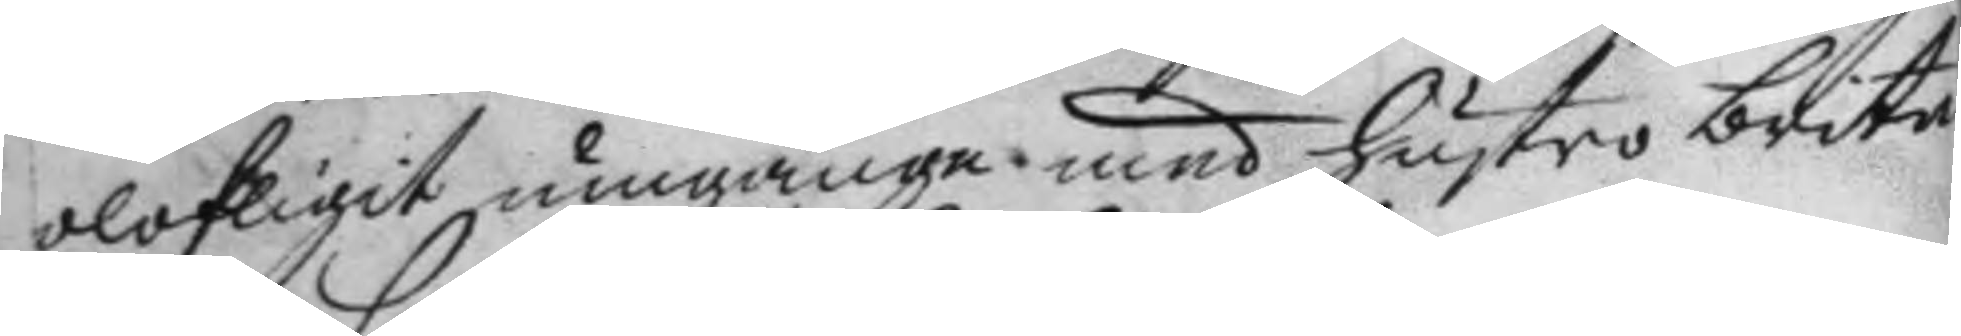olofligit umgänge med hustro brita
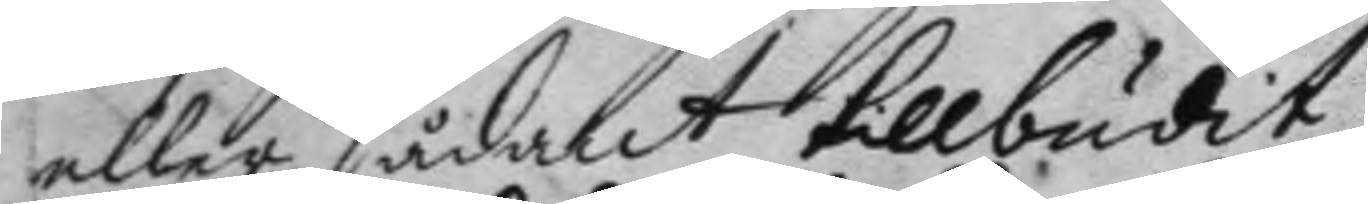eller sådant tillbudit.
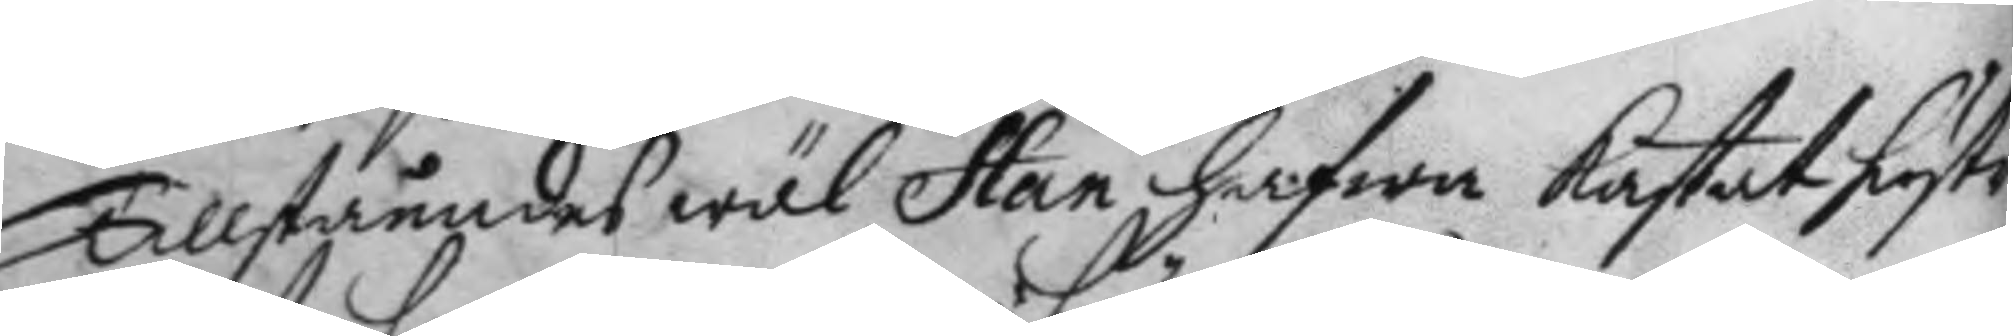Tillståendes wäl Han, hafwa kastat hustro
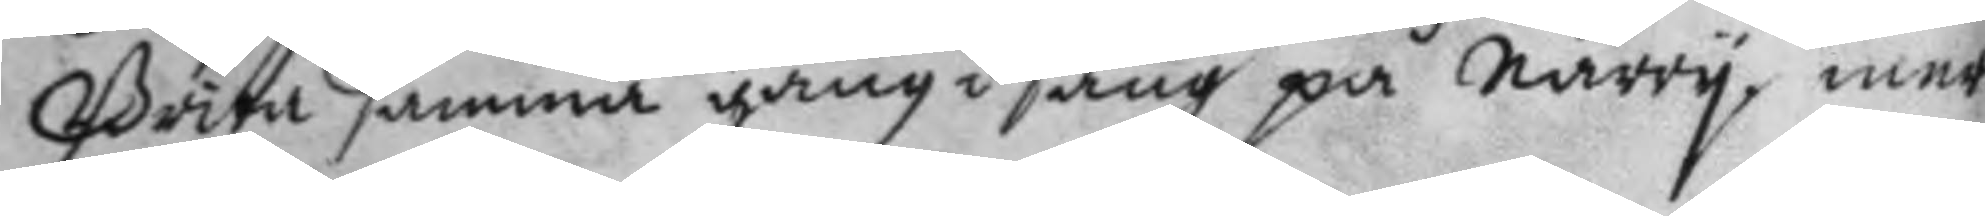Brita samma gång i säng på narry, mer
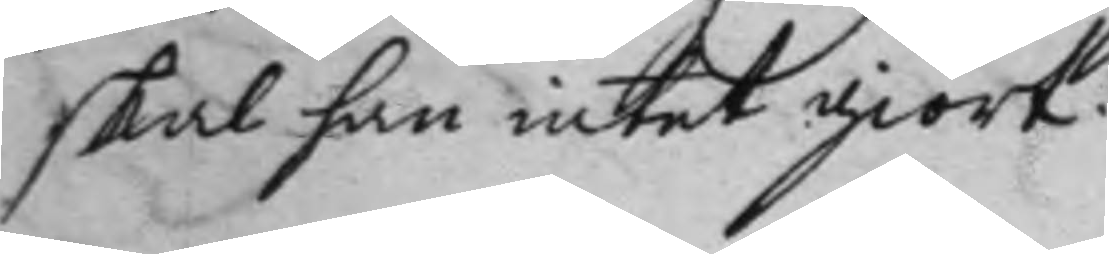skal han intet giort.
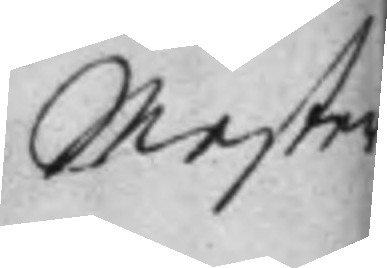Mester
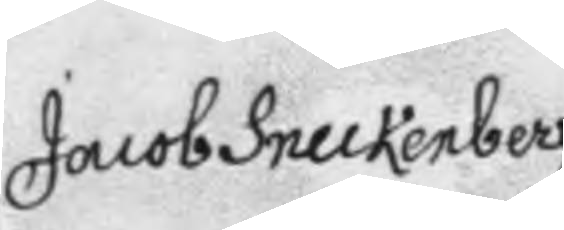Jacob Sneckenberg
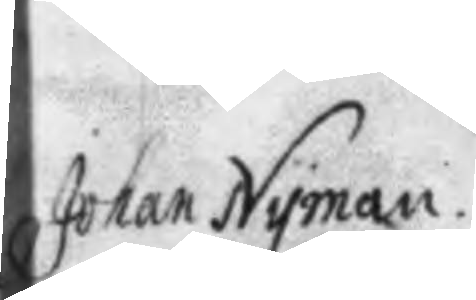Johan Nyman
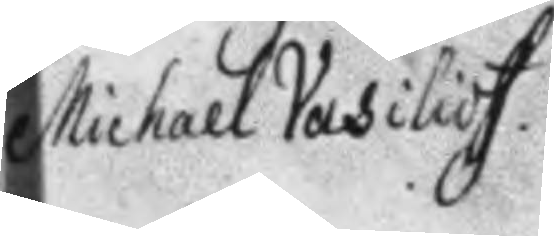Michael Vasilioff.
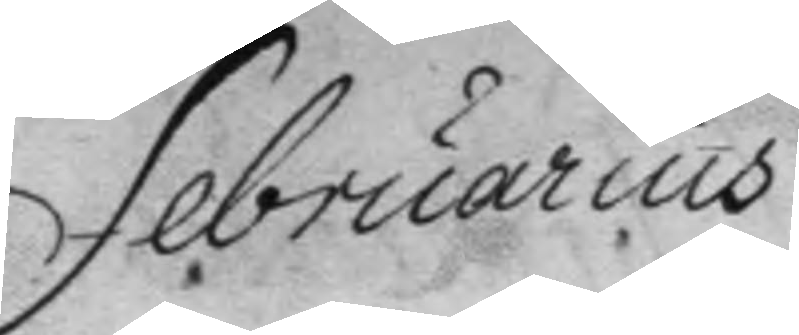Februarius
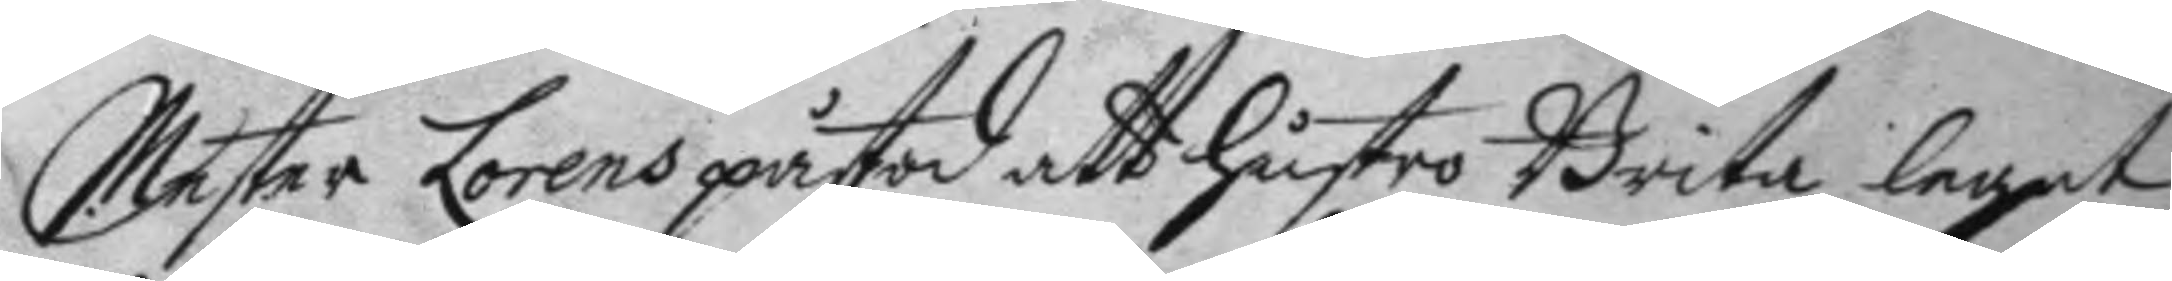Mester Lorens påstod att hustro Brita legat
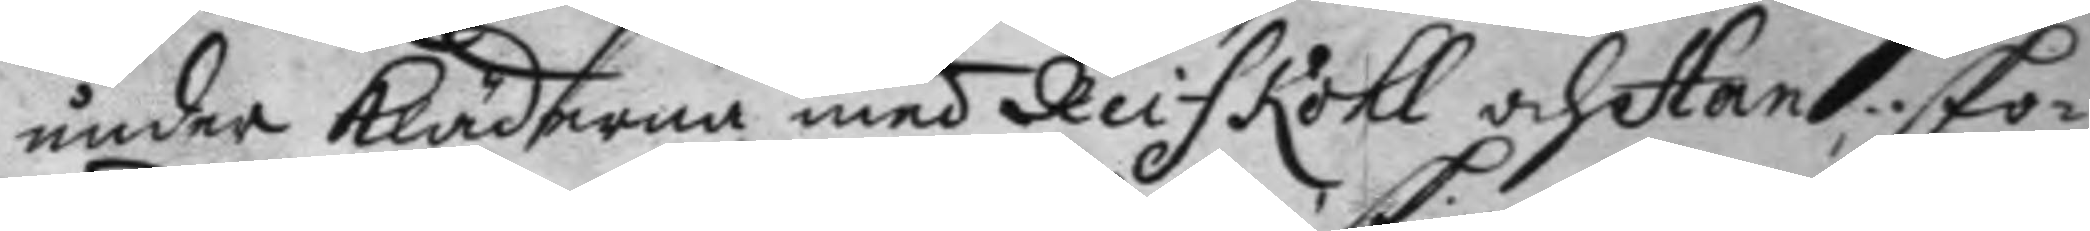under Kläderna med Reiskohl och Han: sko¬
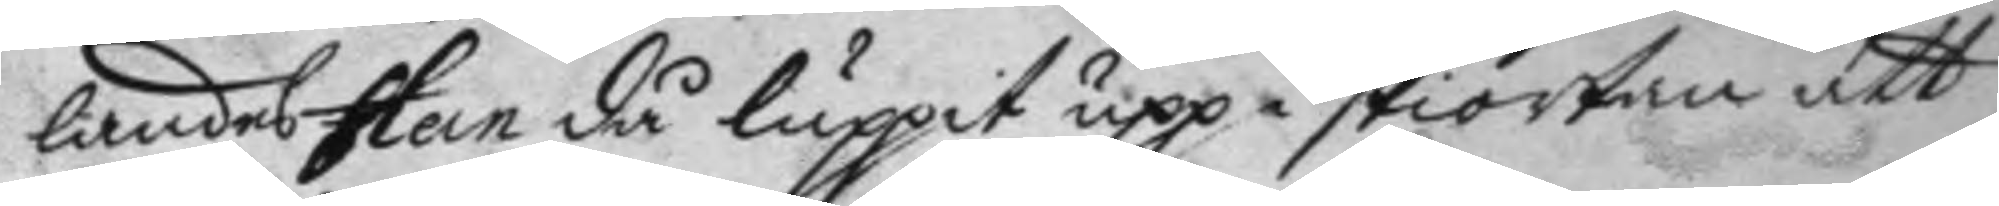landes Han då luppit upp i skiortan att
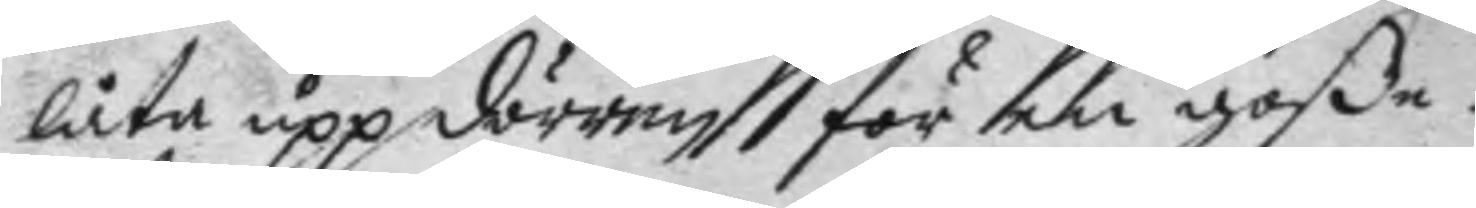låta upp dörren för en goße.
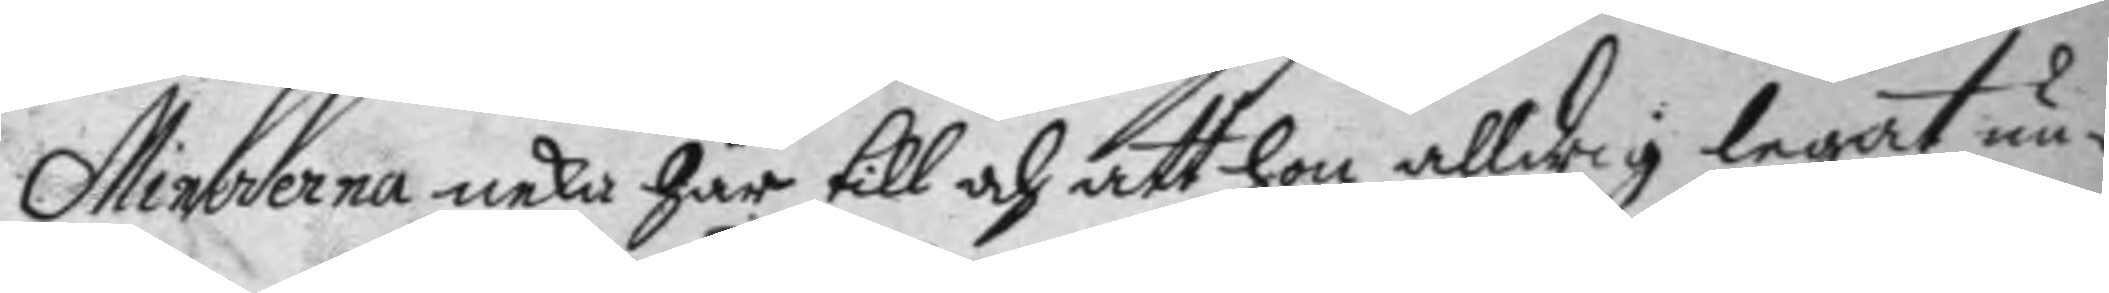Mineerna neka här till och att hon alldrig legat un¬
